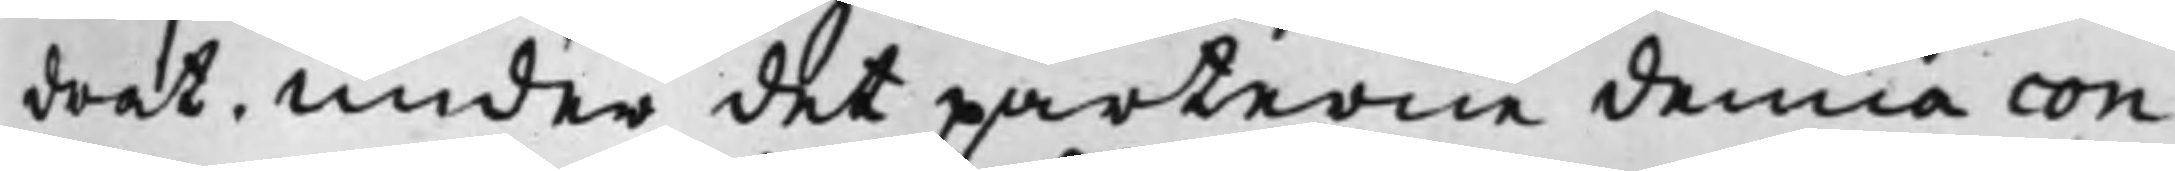drat. Under det parterne denna con¬
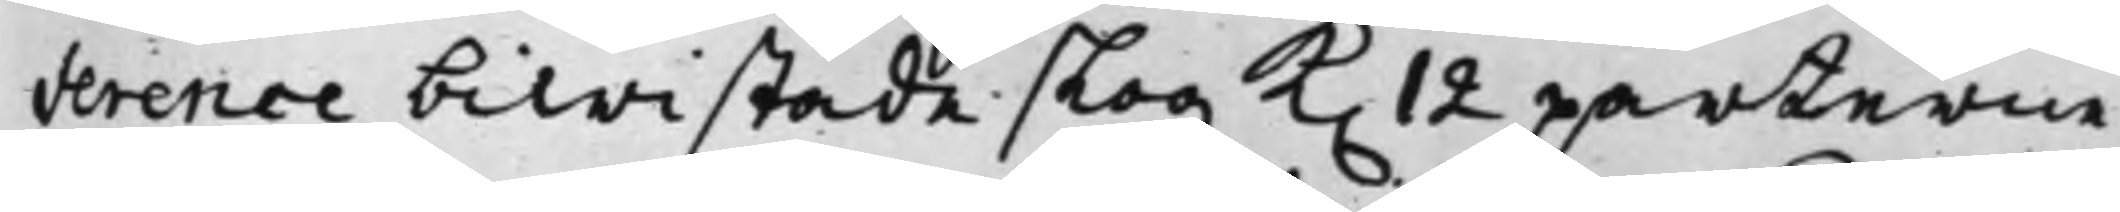ference biwistade slog K. 12 parterne
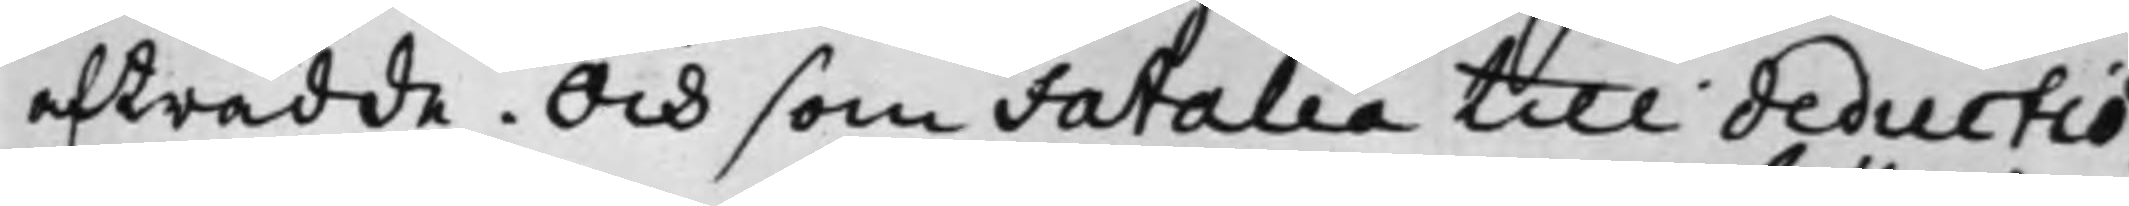afträdde. Och som Fatalia till deductio¬
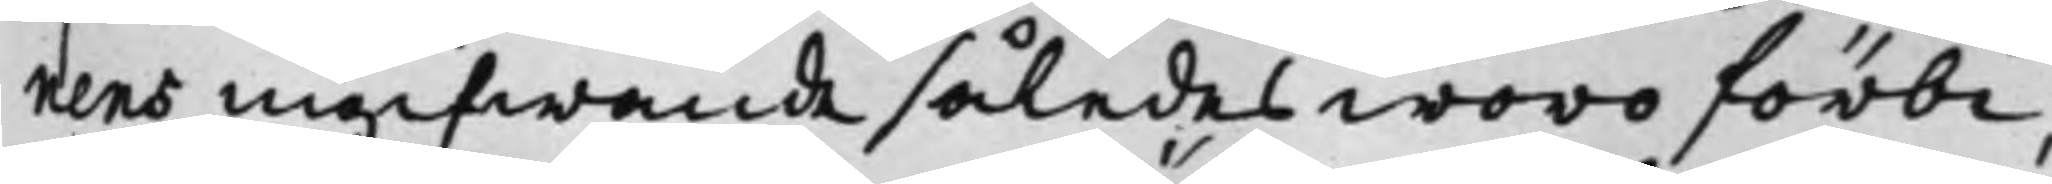nens ingifwande således woro förbi
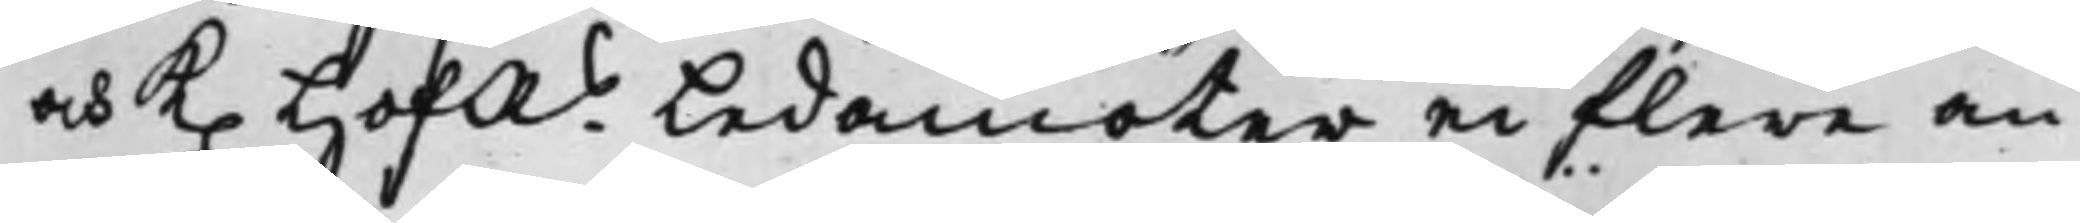och K. HofRs Ledamöter ei flere än
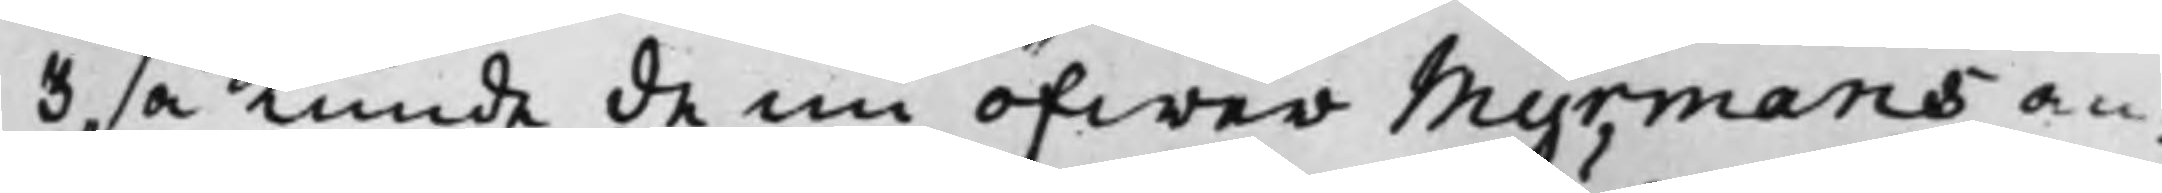3 så Kunde de nu öfwer Myrmans an¬
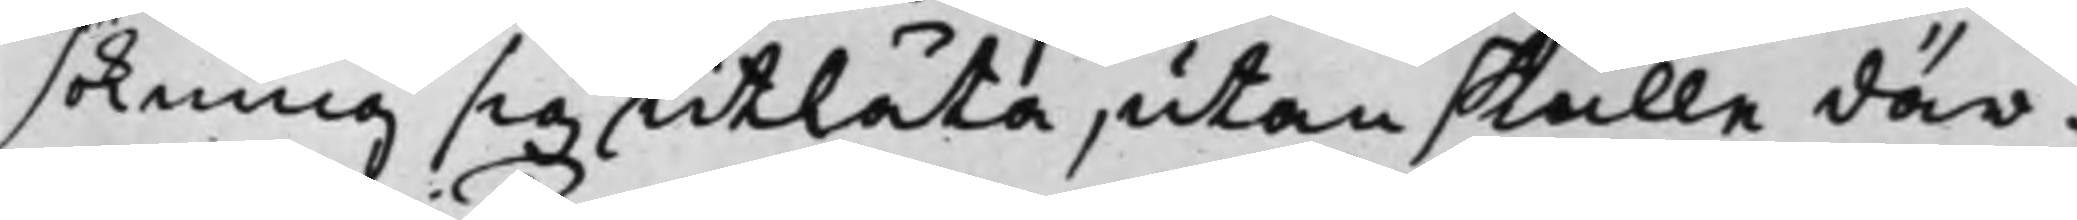sökning sig utlåta, utan skulle där¬
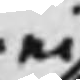ei
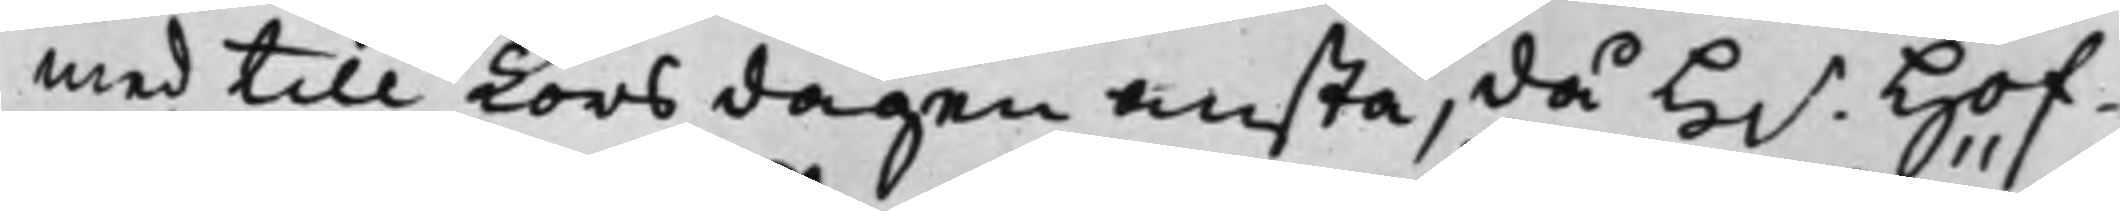med till Torsdagen anstå, då H.r Hof¬
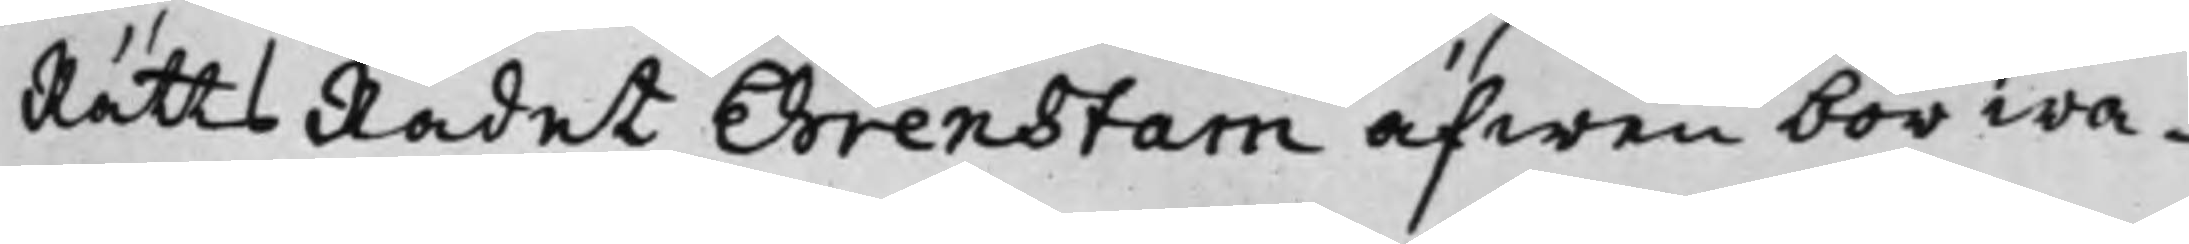RättsRådet Ehrenstam äfwen bör wa¬
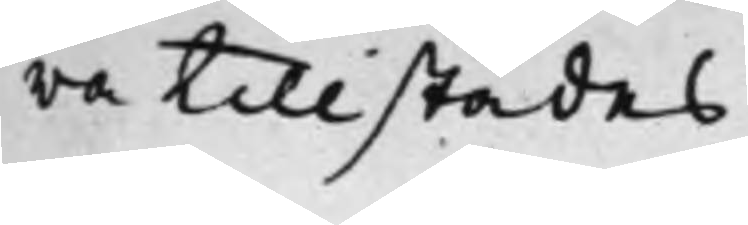ra tillstädes.
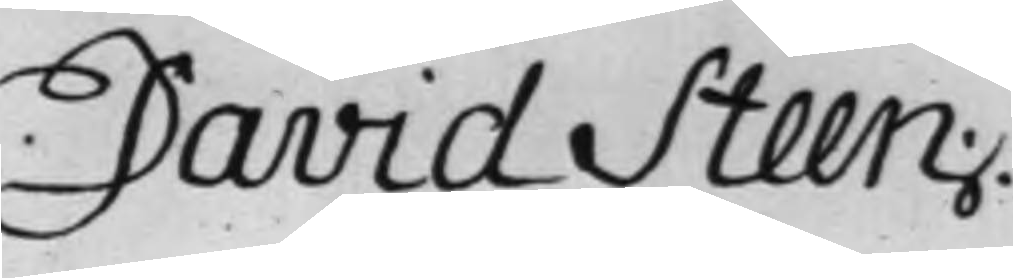David Steen.
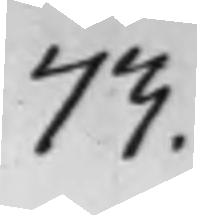73.
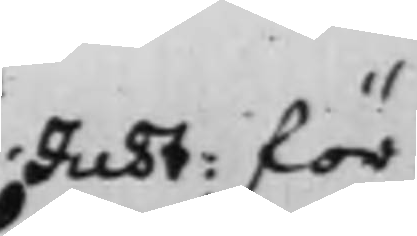Just: för
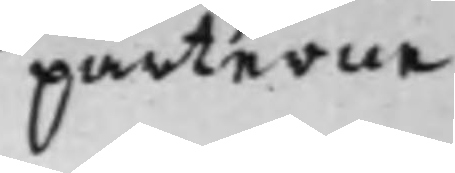parterne
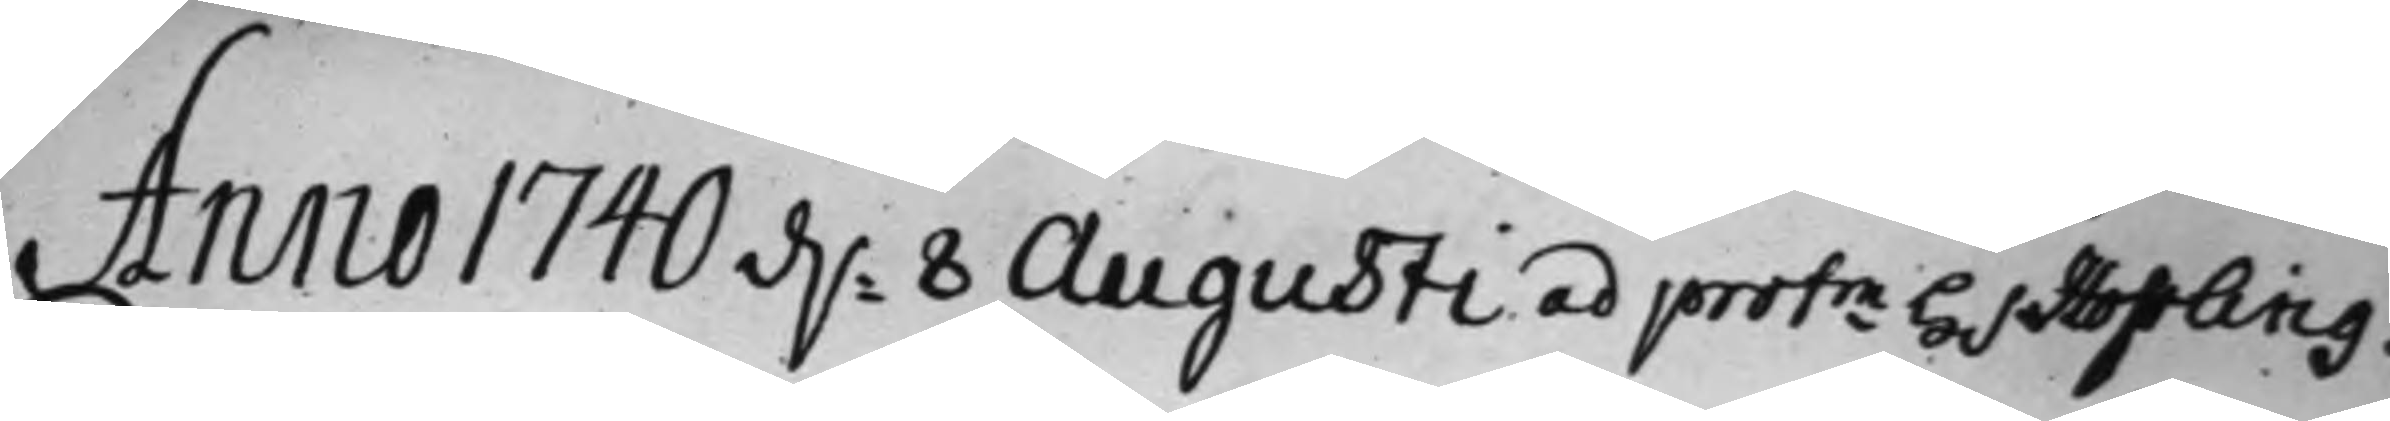Anno 1710 d. 8 Augusti ad protm H.r Hoffling.
